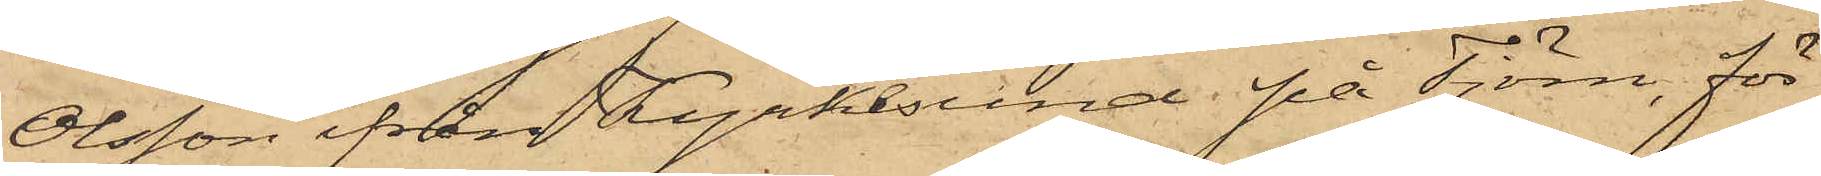Olsson ifrån Kyrkesund på Tjörn, för
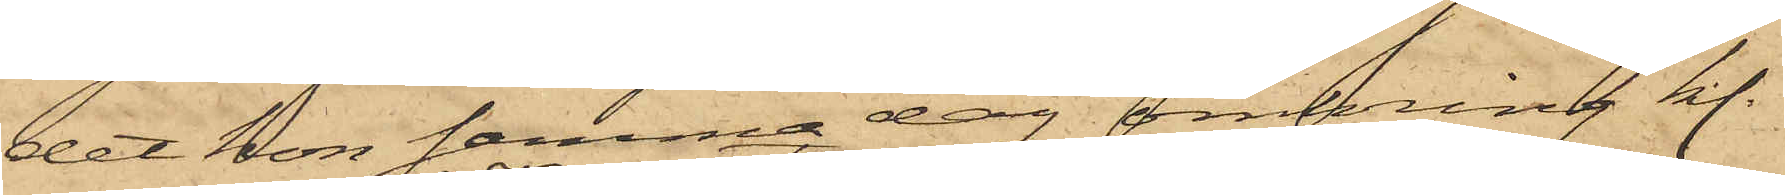det hon samma dag omkring kl.
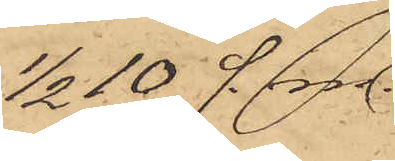1/2 10 f. m.
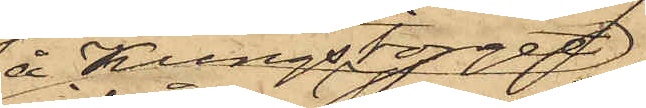å Kungstorget
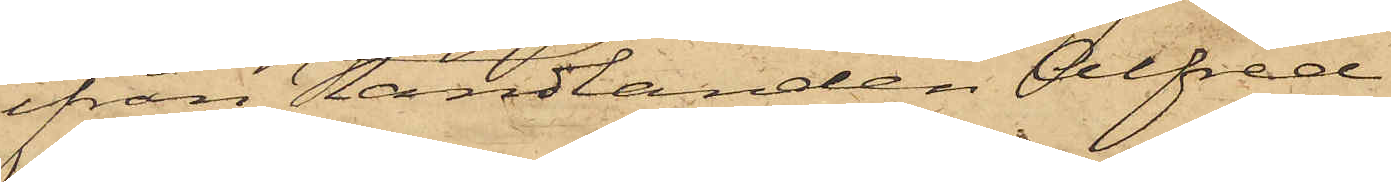ifrån Handlanden Alfred
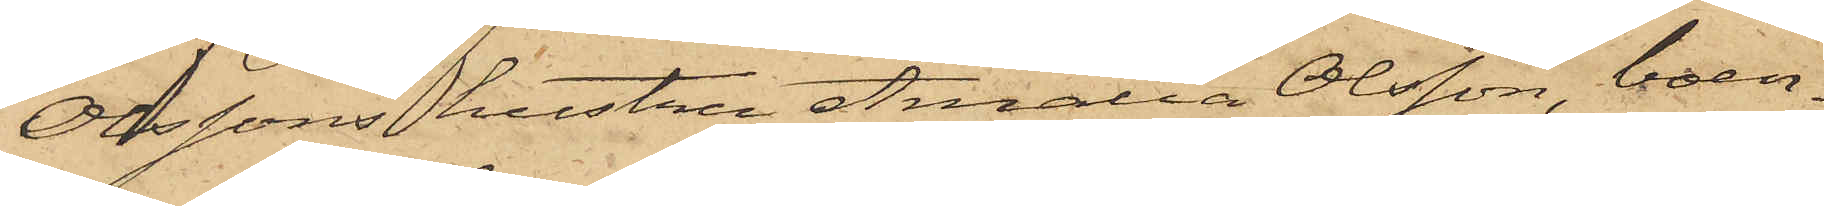Olssons hustru Amalia Olsson, boen¬
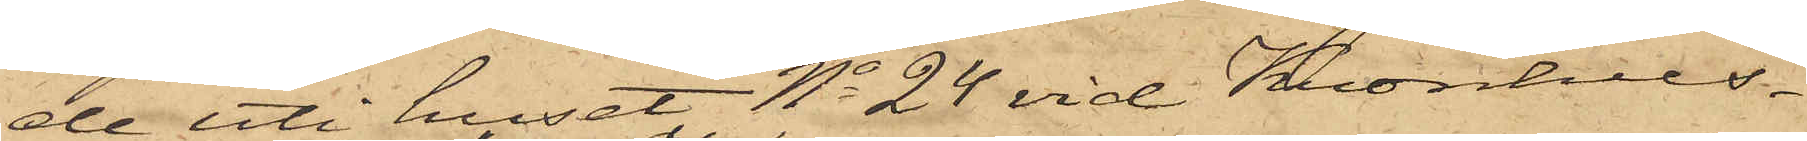de uti huset No 24 vid Kronhus¬
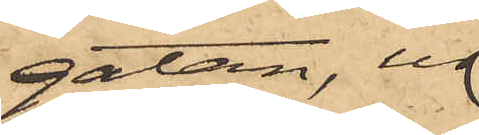gatan, ur
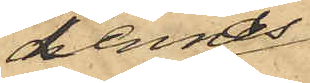dennas
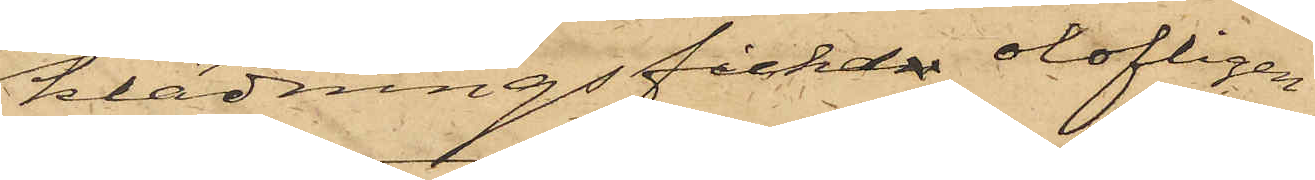klädningsfickan olofligen
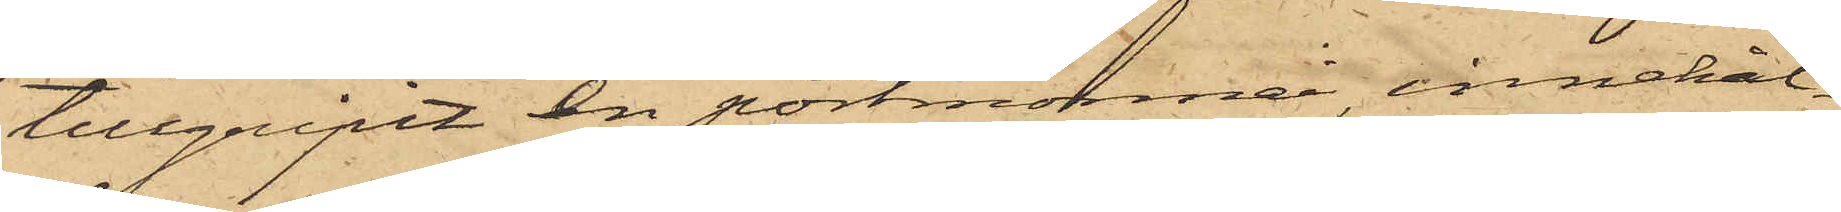tillgripit en portmonnai innehål¬
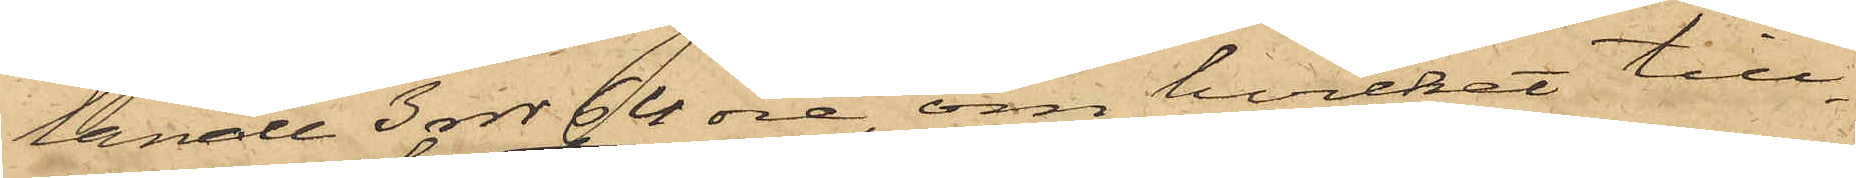lande 3 rdr 64 öre, om hvilket till¬
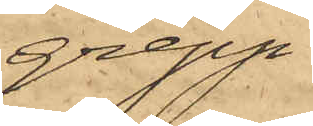grepp
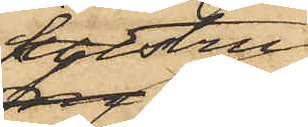hustru
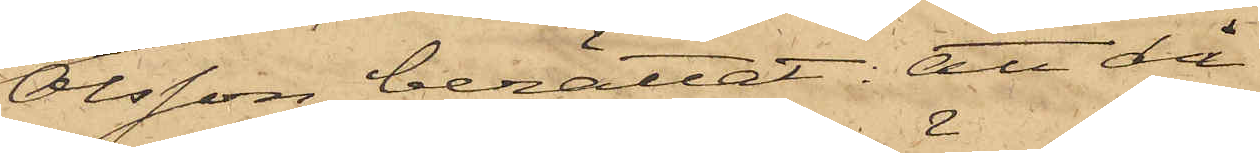Olsson berättat: att då
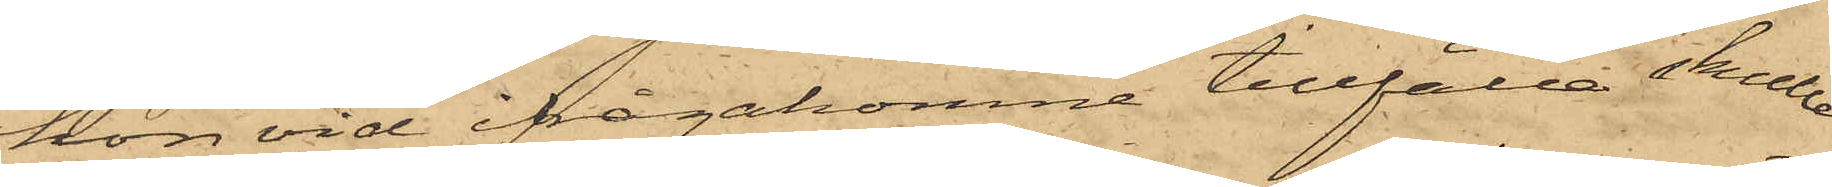hon vid ifrågakomne tillfälle skulle
